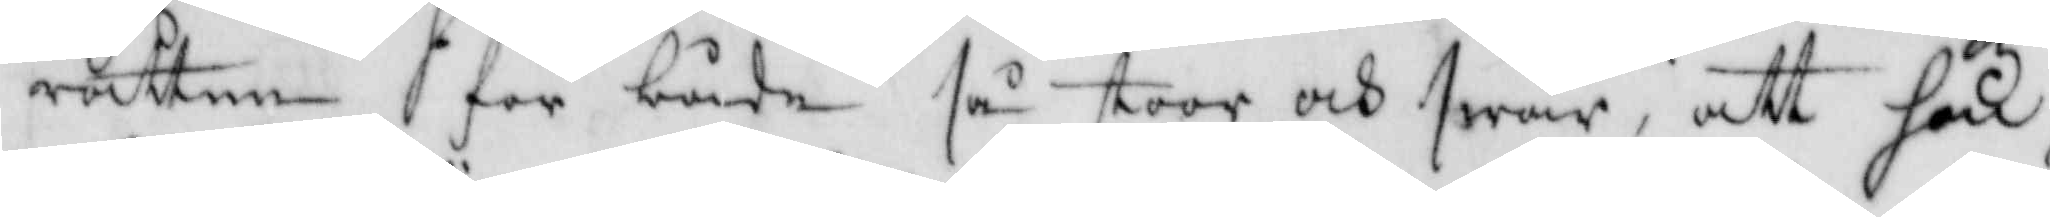rätten för både så stoor och swår, att han
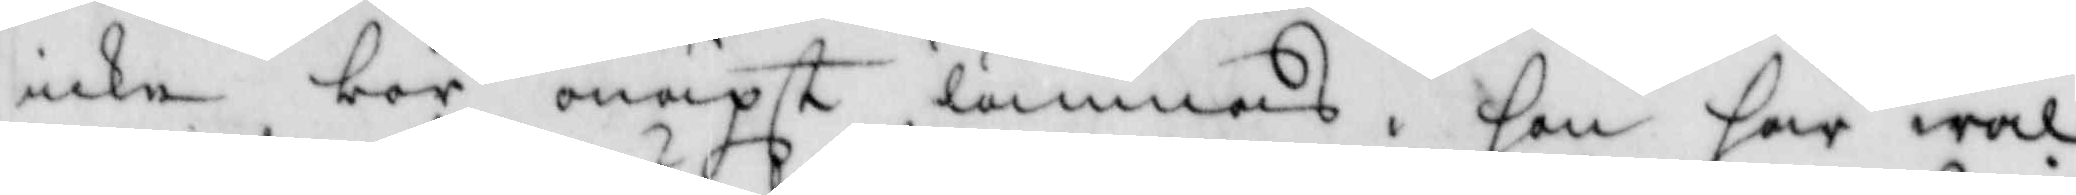icke bör onäpst lämnas. han har wäl
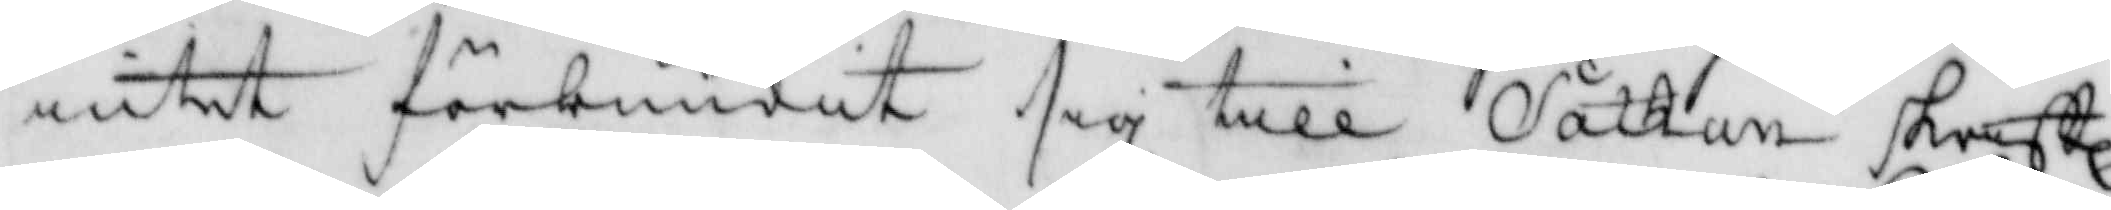intet förbundit sig till Sathan skriftl:
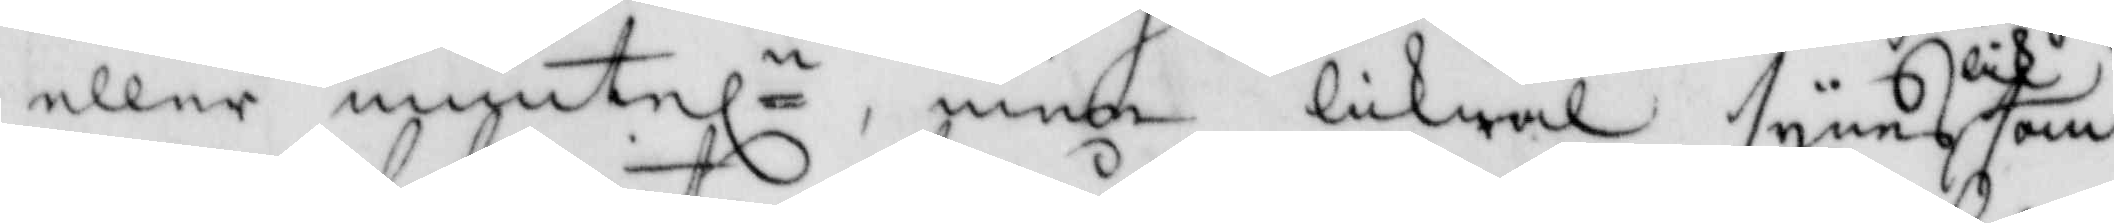eller munteln, men likwäl synes liksom
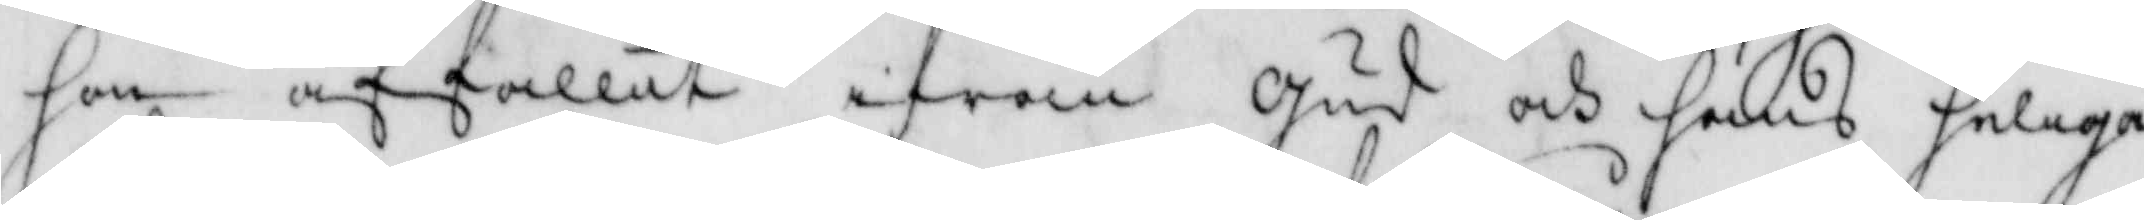hon affallit ifrån Gud och hans heliga
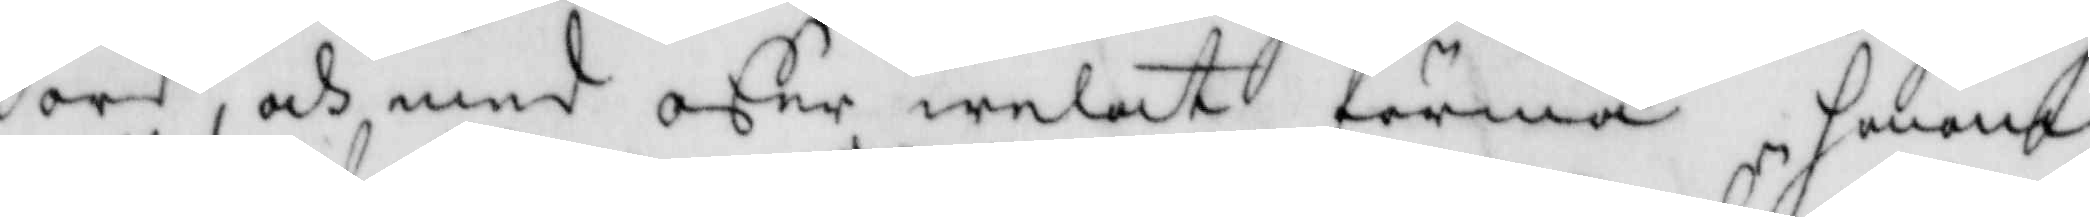ord, och med offer welat förmå honom
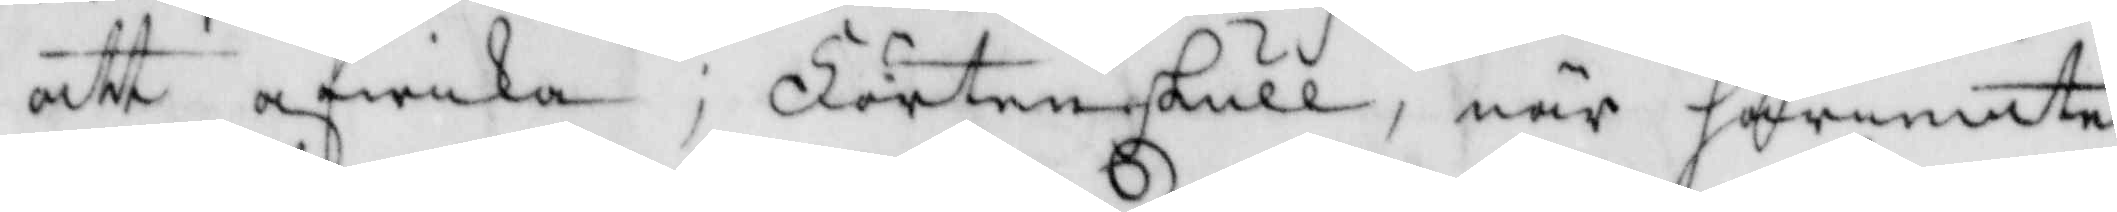att afwika; Förtenskull, när häriemte
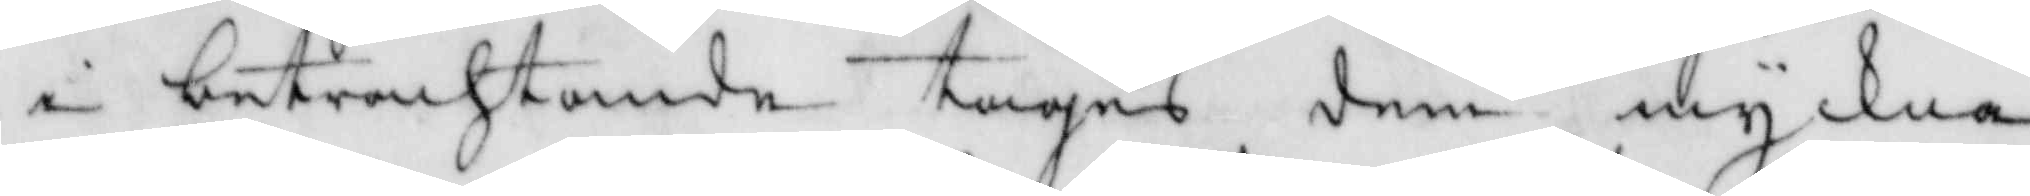i betrachtande tagas dem myckna
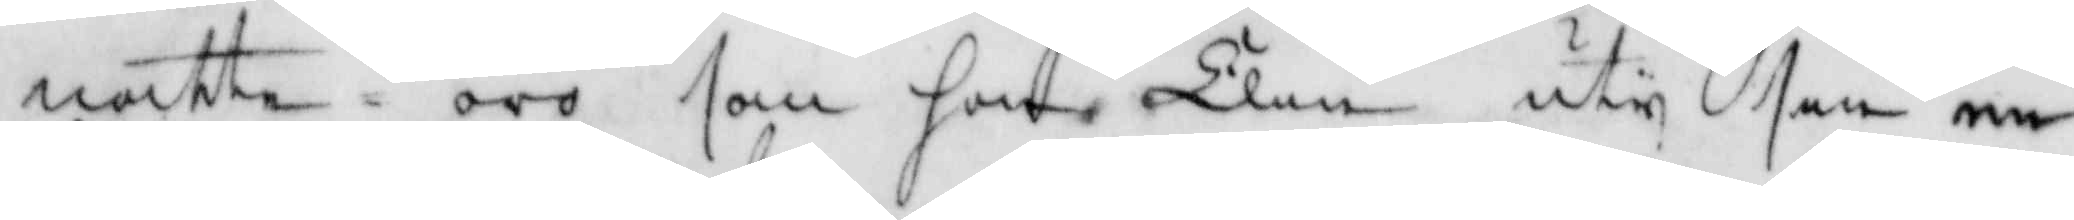natte oro som hon Elin uty sin en¬
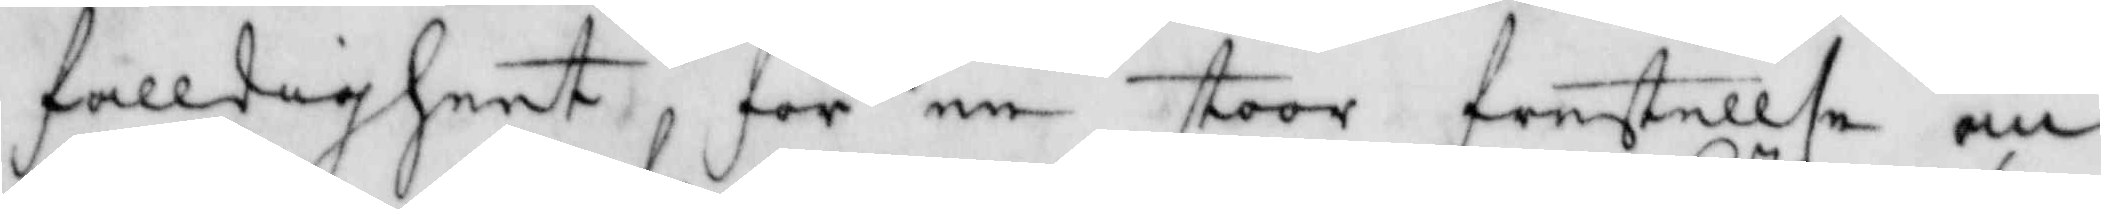falldigheet för en stoor frestellse an¬
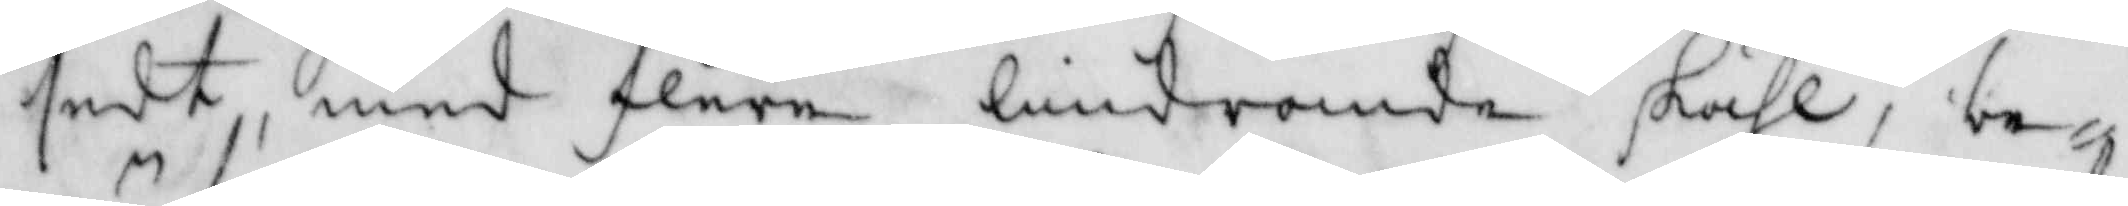sedt, med flere lindrande skähl,be¬
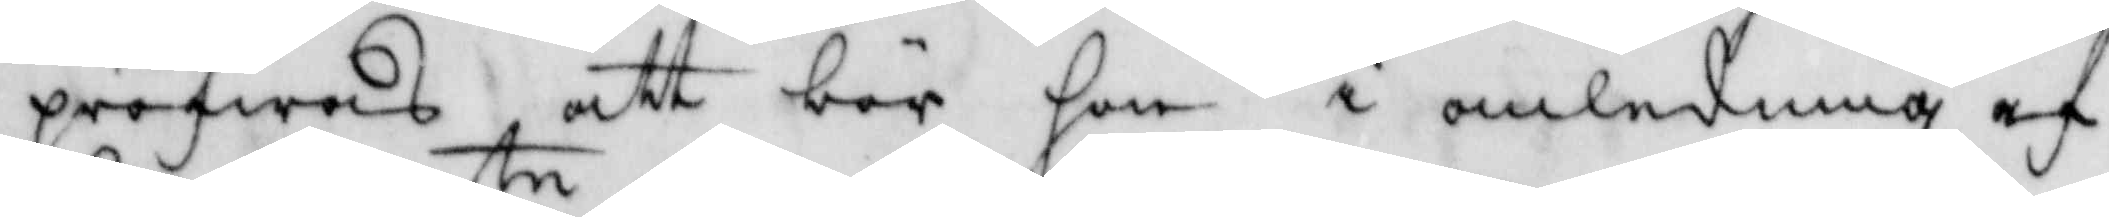pröfwas att bör hon i anledning af
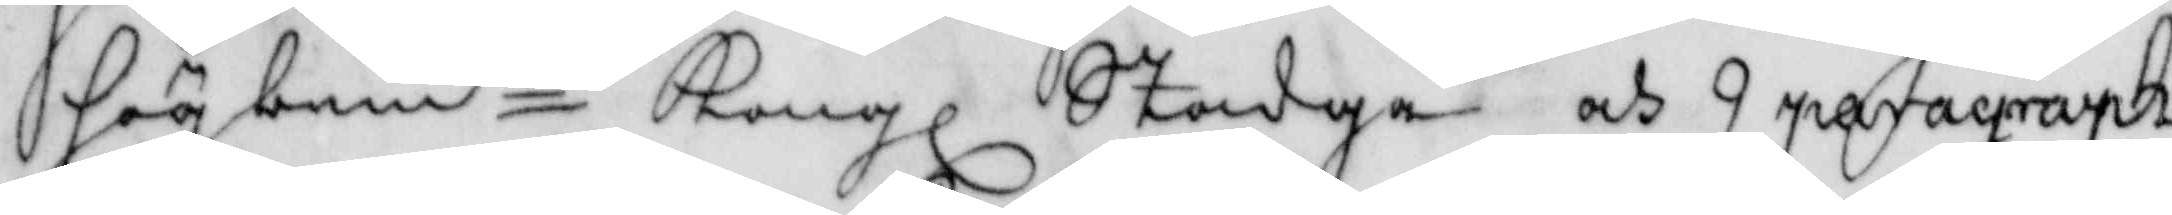högbemte Kongl Stadga och 9 paragraph
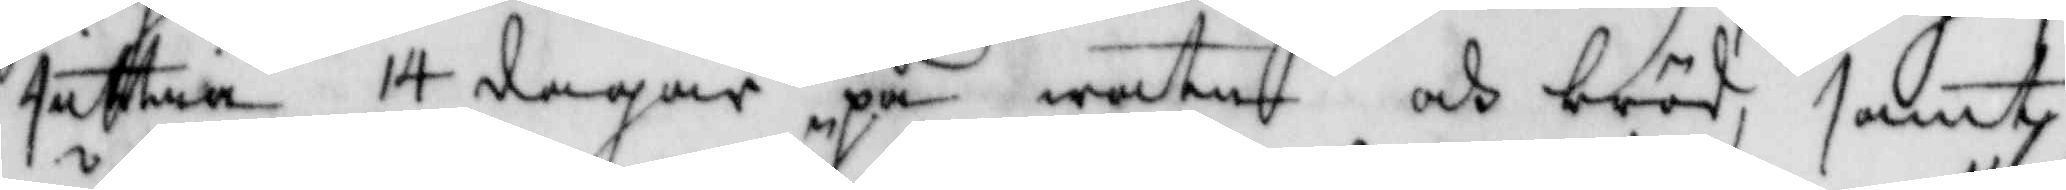sittia 14 dagar på waten och bröd, samt
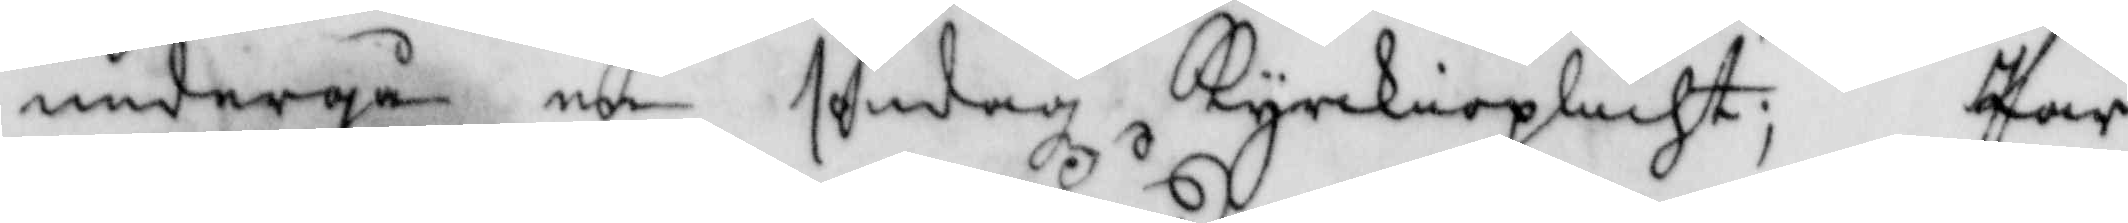undergå en söndagz Kyrkioplicht; Pär
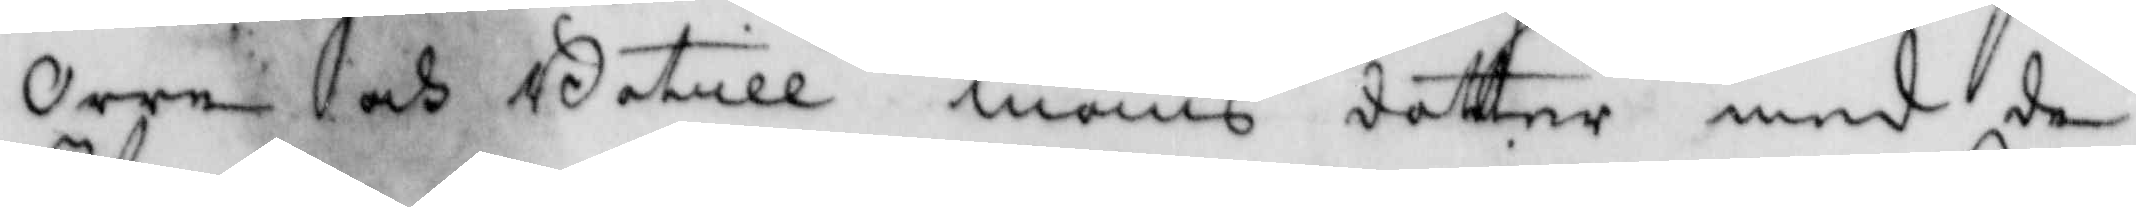Orre och Botill Måns dotter med de
